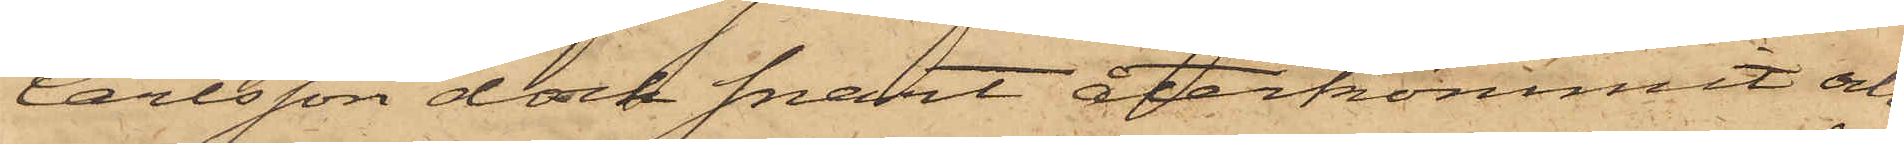Carlsson dock snart återkommit och
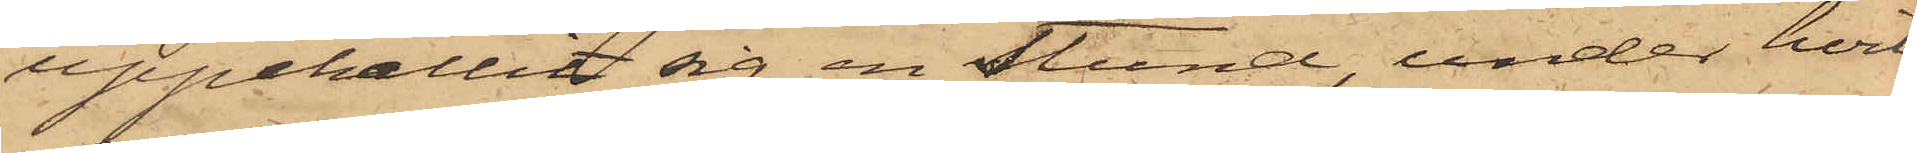uppehållit sig en stund, under hvil¬
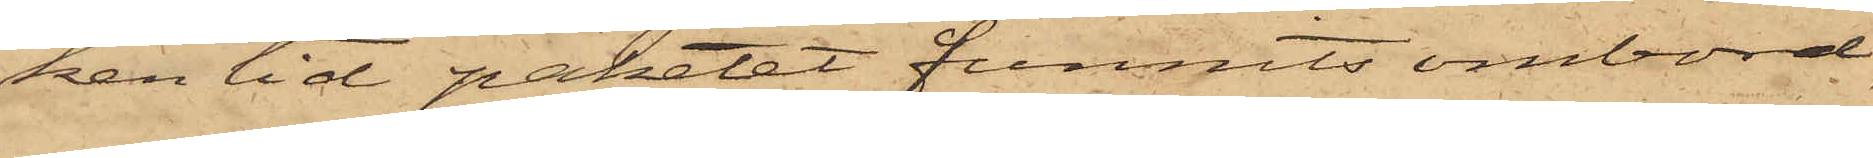ken tid paketet funnits ombord,
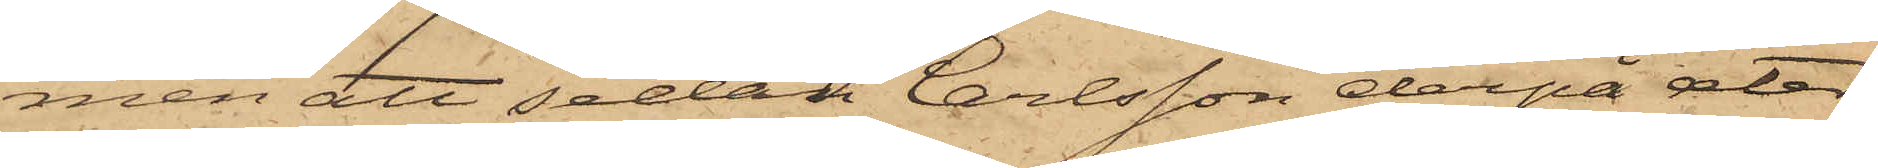men att sedan Carlsson derpå åter
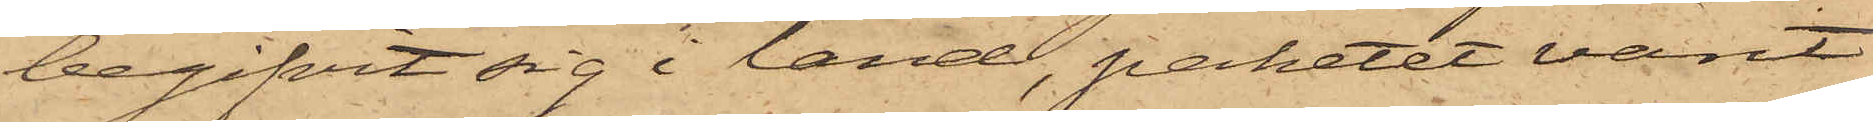begifvit sig i land, paketet varit
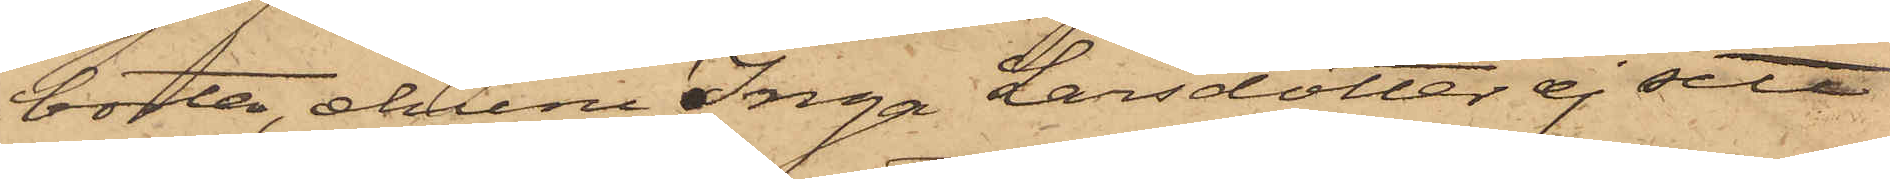borta, ehuru Inga Larsdotter ej sett
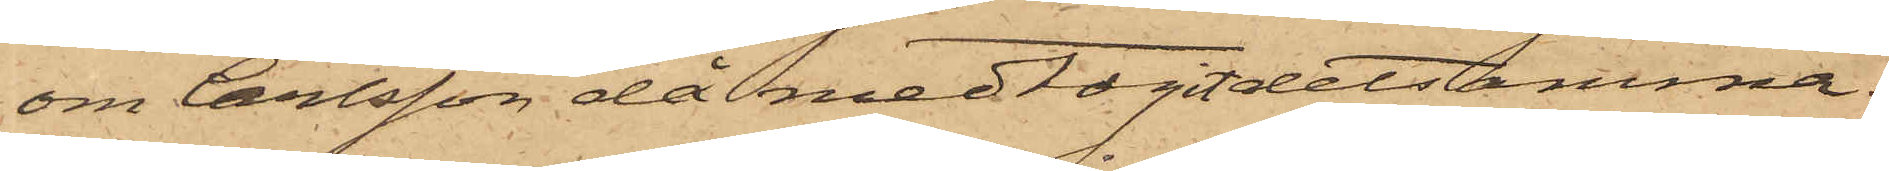om Carlsson då medtagit detsamma.
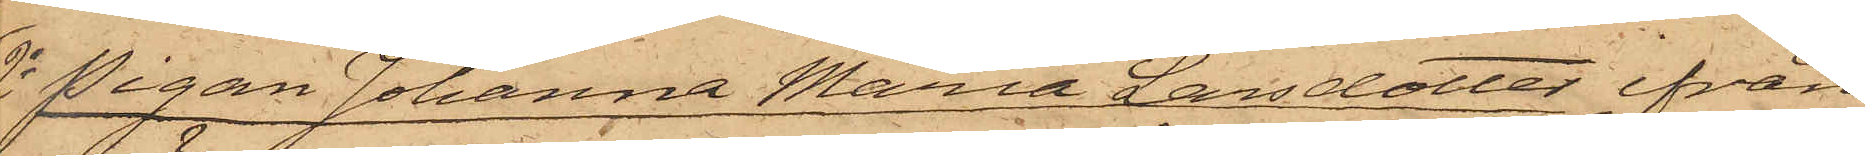2o Pigan Johanna Maria Larsdotter ifrån
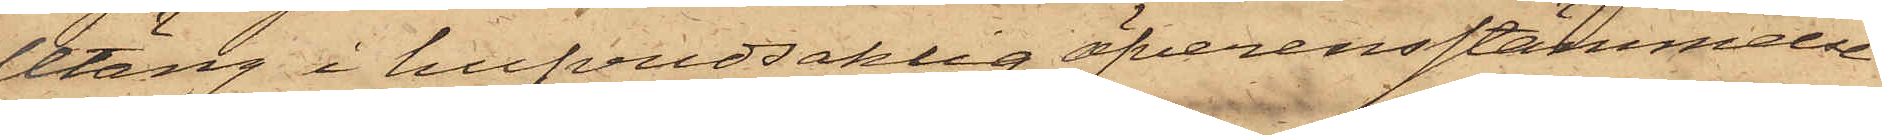Utäng i hufvudsaklig öfverensstämmelse
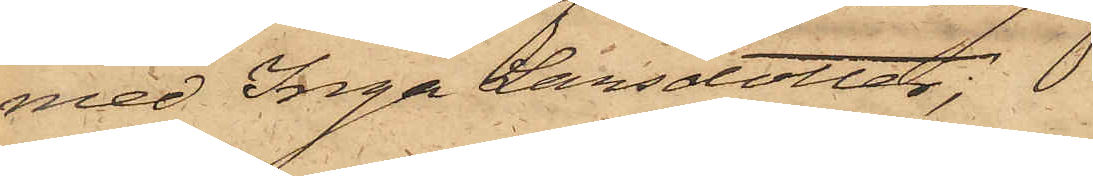med Inga Larsdotter.
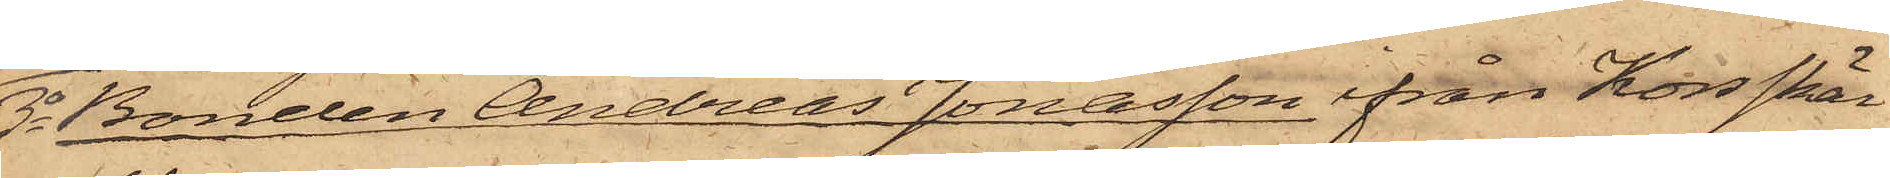3o Bonden Andreas Jonasson ifrån Korsskär
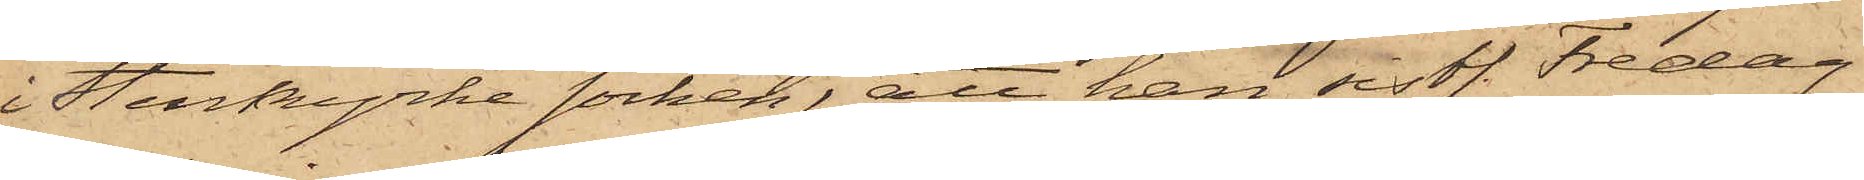i Stenkyrke Socken; att han sistl. Fredag
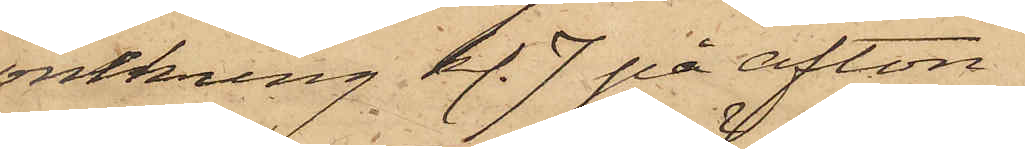omkring kl. 7 på afton
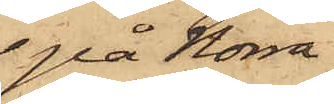på Norra
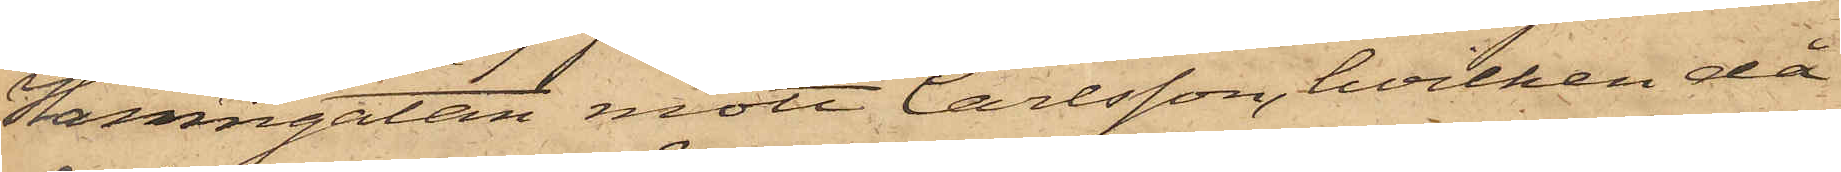Hamngatan mött Carlsson, hvilken då
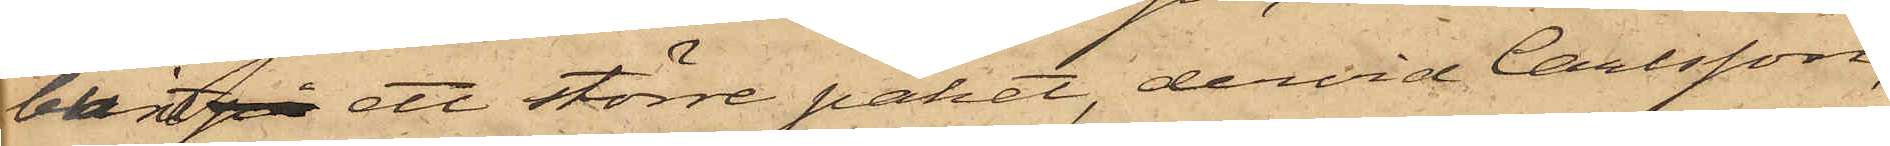burit på ett större paket, dervid Carlsson,
